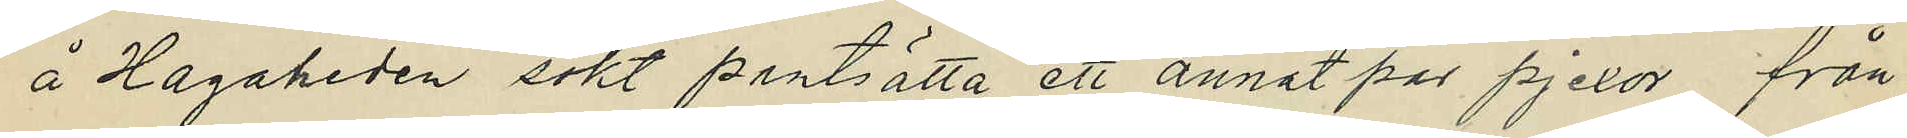å Hagaheden sökt pantsätta ett annat par pjexor, från
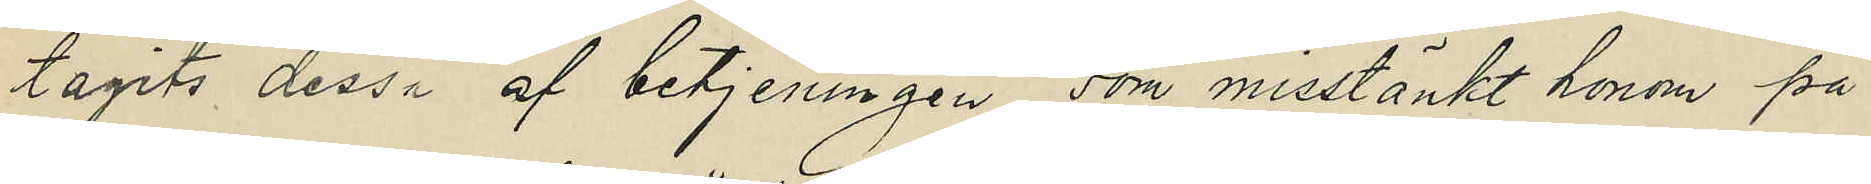tagits dessa af betjeningen, som misstänkt honom på
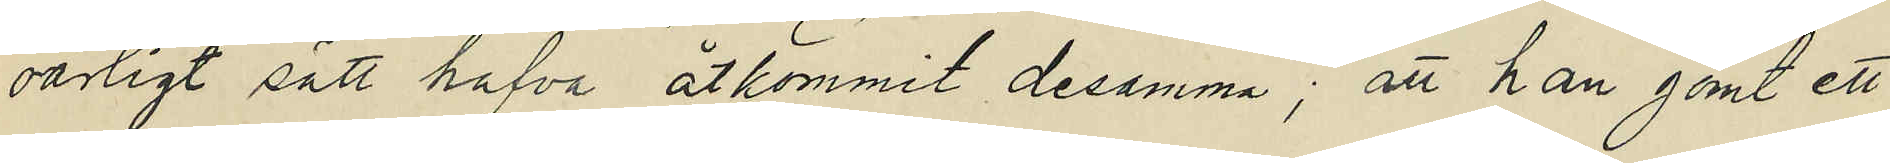oärligt sätt hafva åtkommit desamma; att han gömt ett
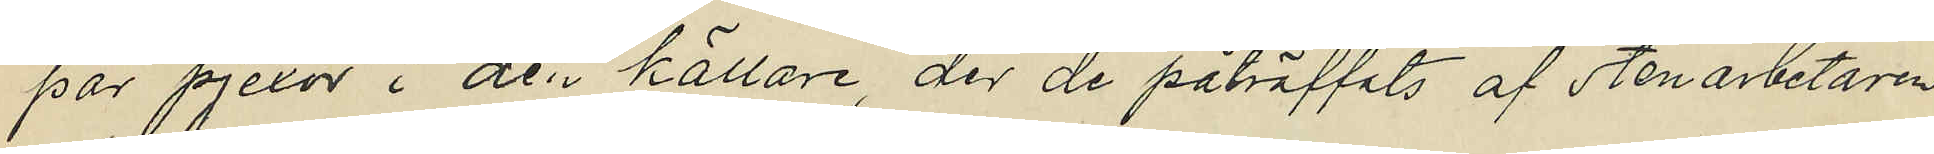par pjexor i den källare, der de påträffats af stenarbetaren
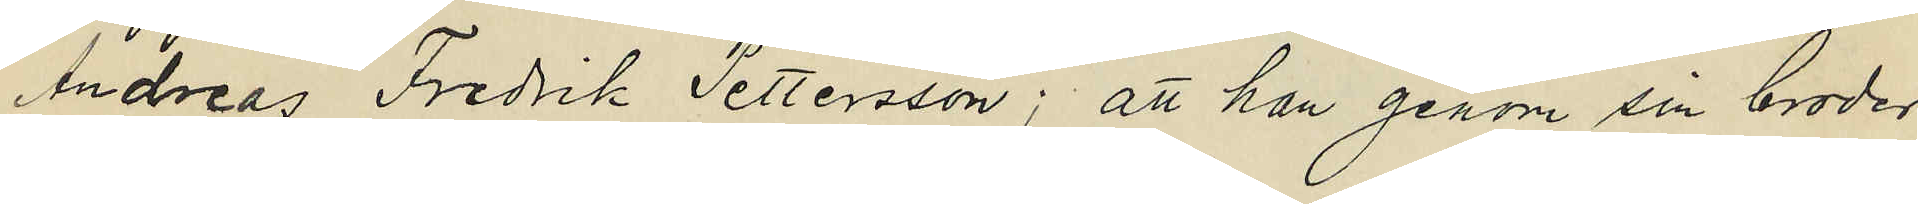Andreas Fredrik Pettersson; att han genom sin broder
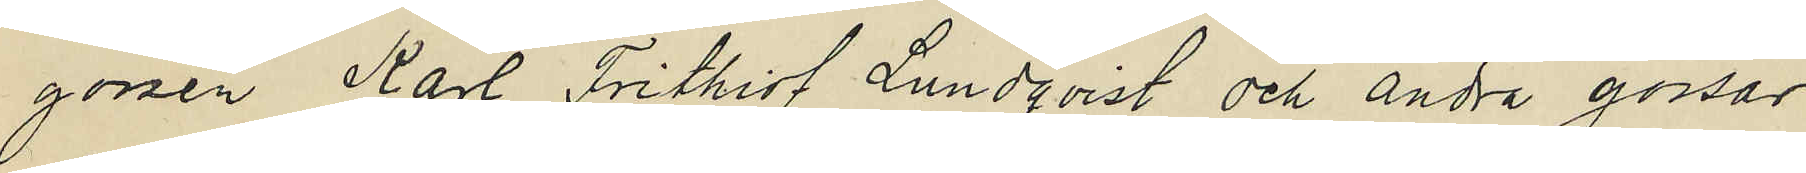gossen Karl Frithiof Lundqvist och andra gossar
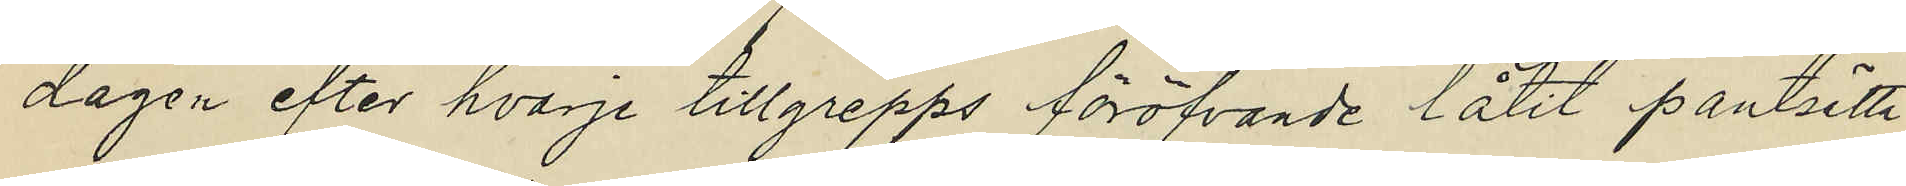dagen efter hvarje tillgrepps föröfvande låtit pantsätta
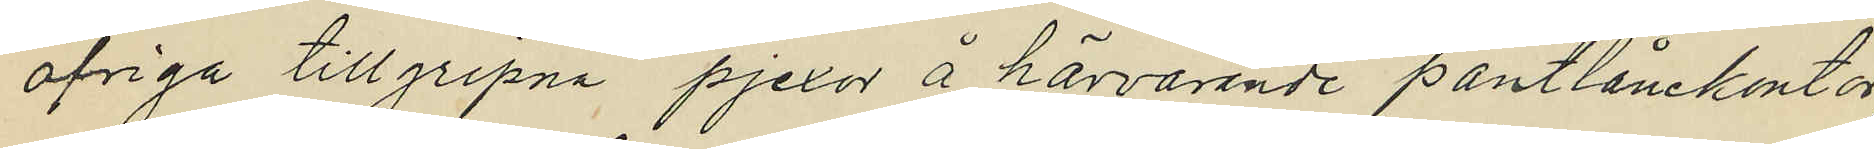öfriga tillgripna pjexor å härvarande pantlånekontor,
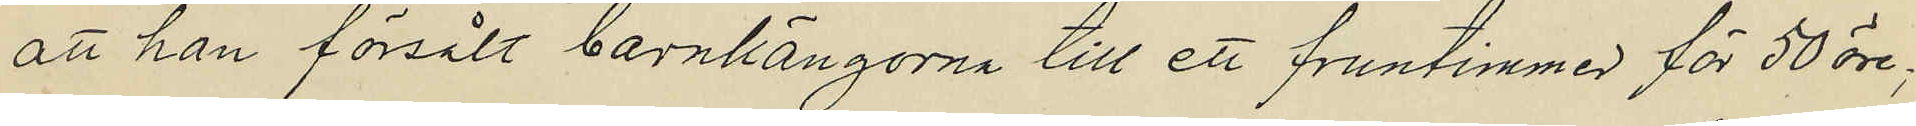att han försålt barnkängorna till ett fruntimmer för 50 öre;
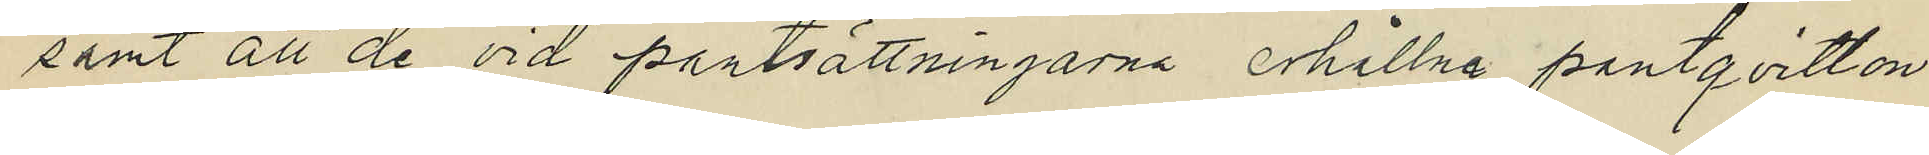samt att de vid pantsättningarna erhållna pantqvitton
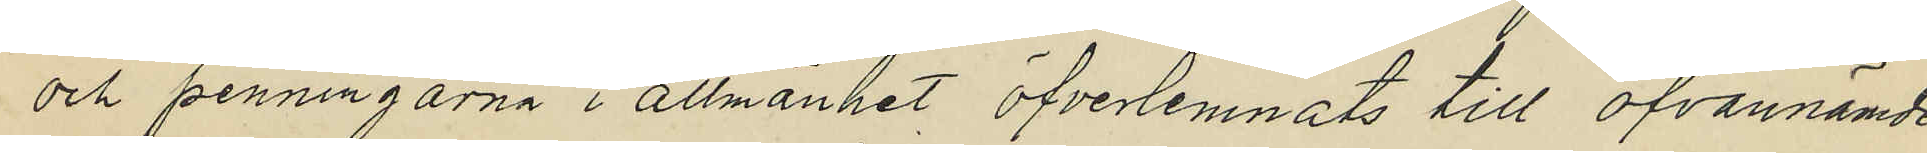och penningarna i allmänhet öfverlemnats till ofvannämde¬
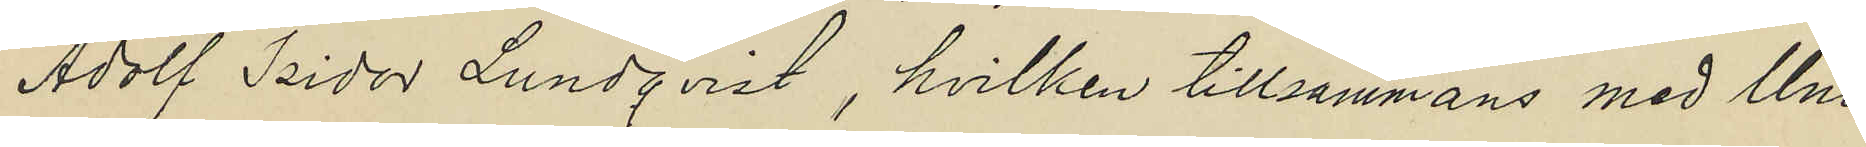Adolf Isidor Lundqvist, hvilken tillsammans med Uno
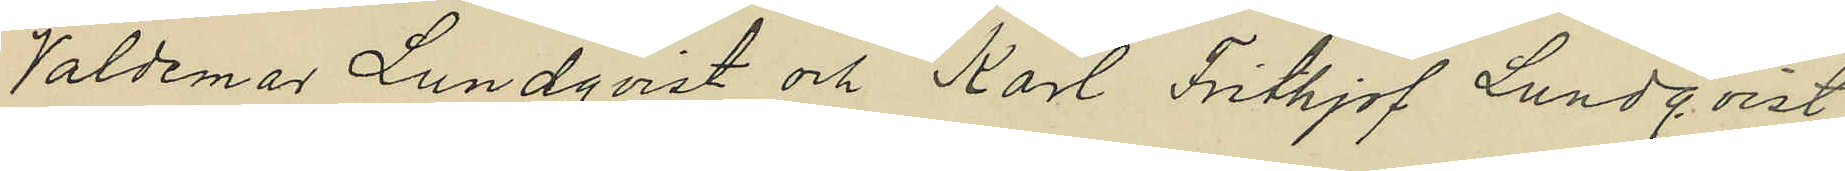Valdemar Lundqvist och Karl Frithjof Lundqvist
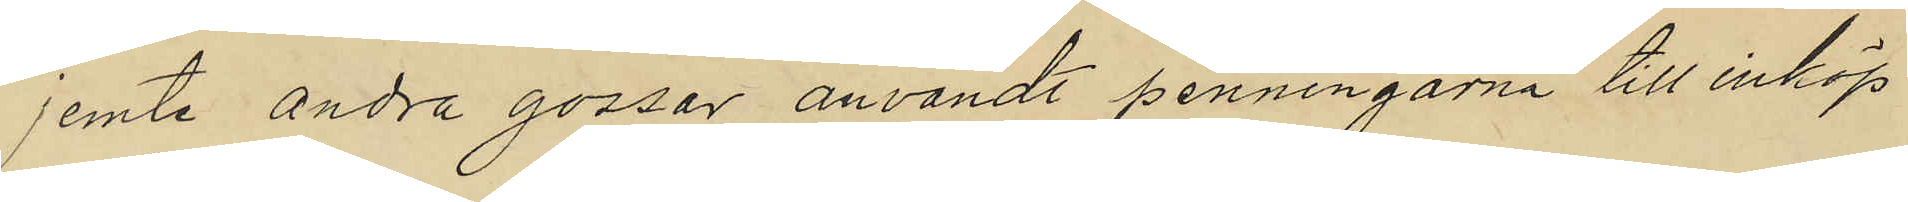jemte andra gossar användt penningarna till inköp
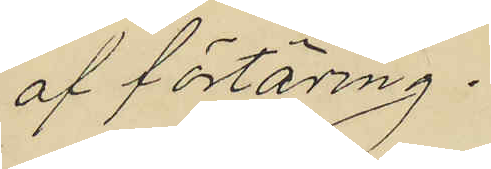af förtäring.
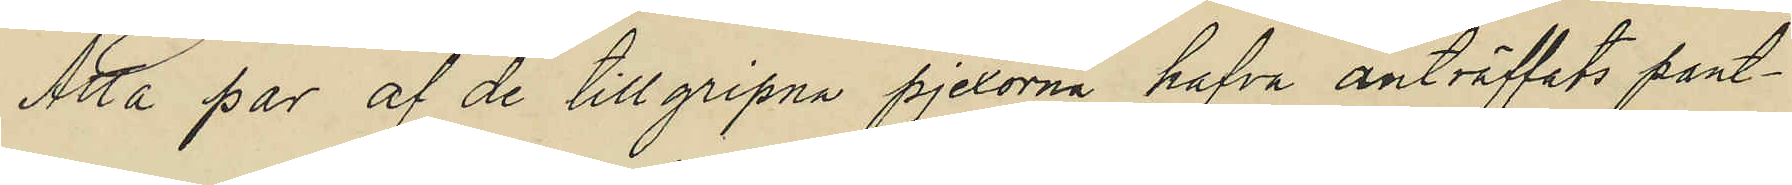Åtta par af de tillgripna pjexorna hafva anträffats pant¬
